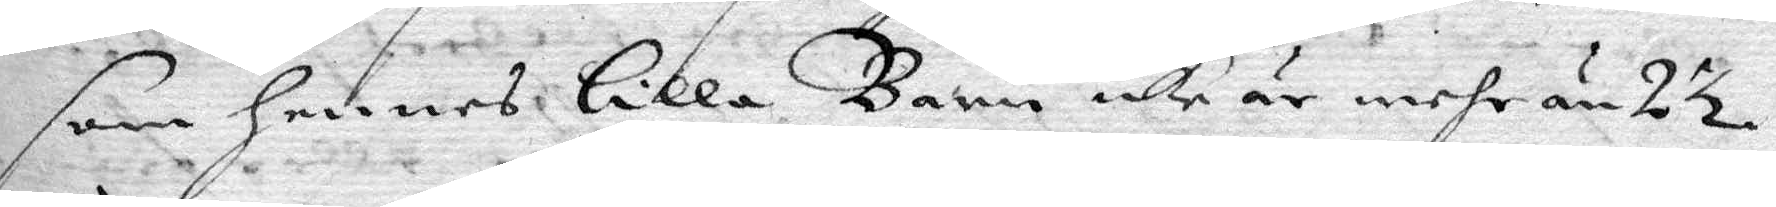som hennes lilla Barn icke är mehr än 2½
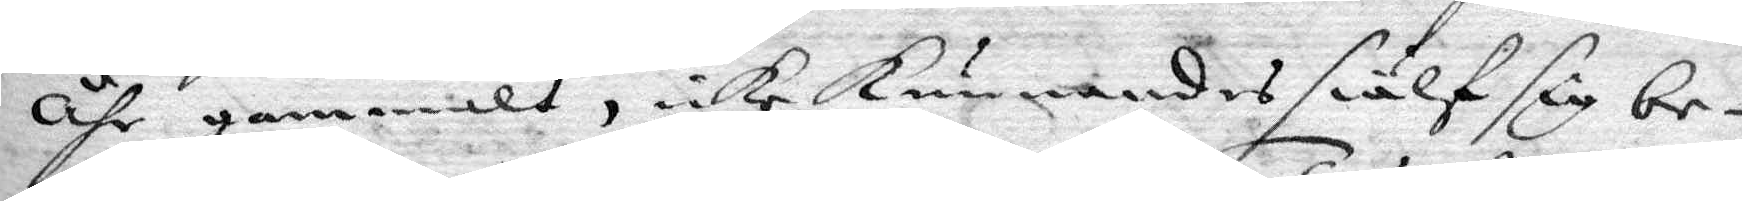åhr gammalt, icke kunnandes siälf sig be¬
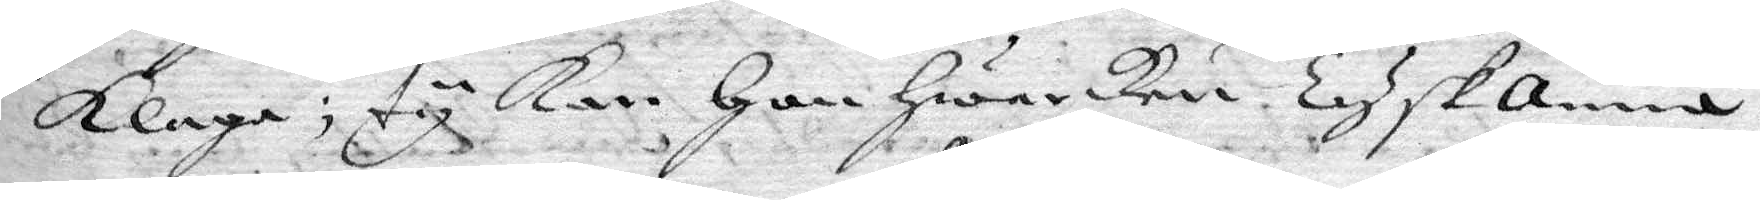klaga; ty kan hon hwarken TyskAnna
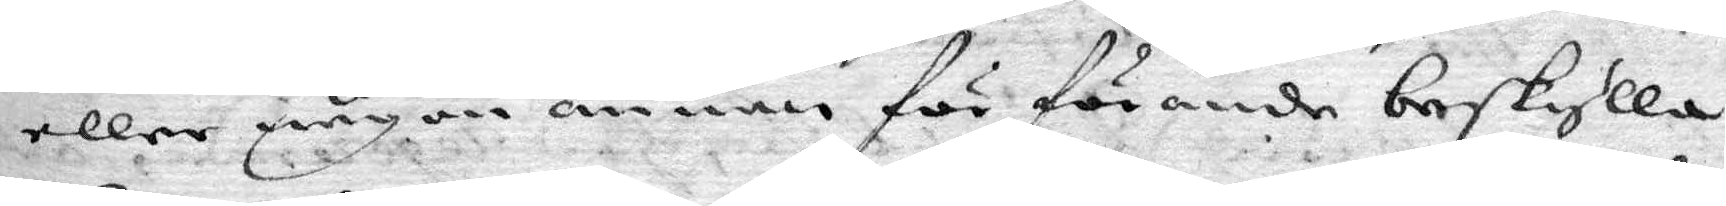eller någon annan för förande beskylla,
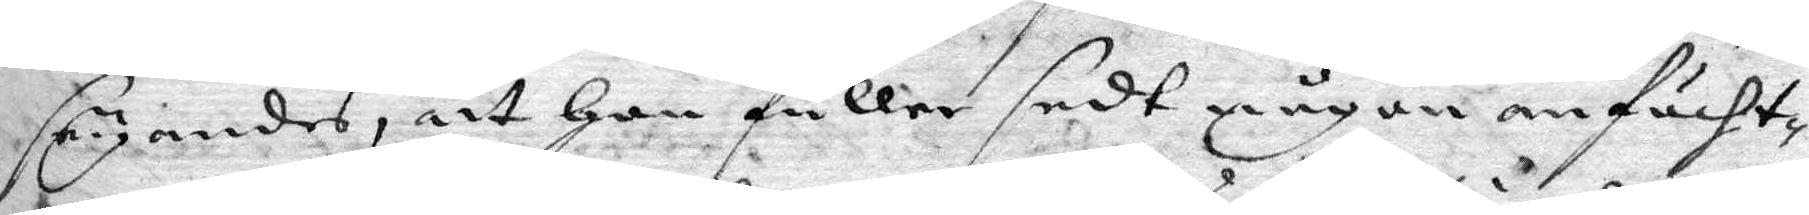seyandes, att hon fuller sedt någon anfächt¬
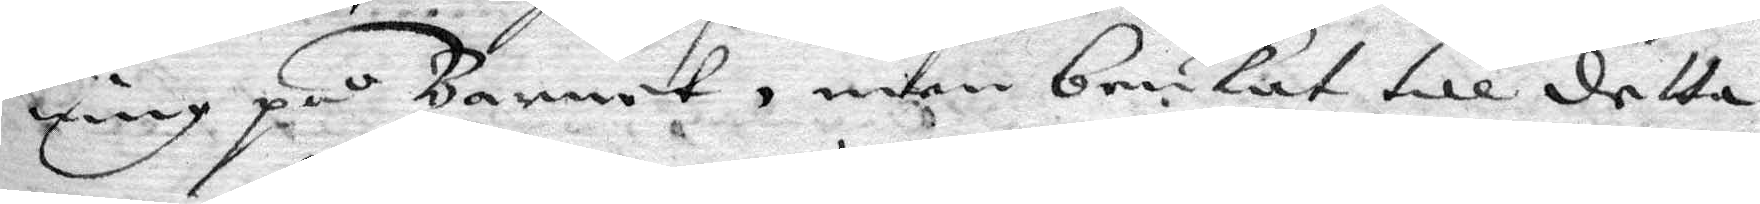ning på Barnet, men brukat till detta
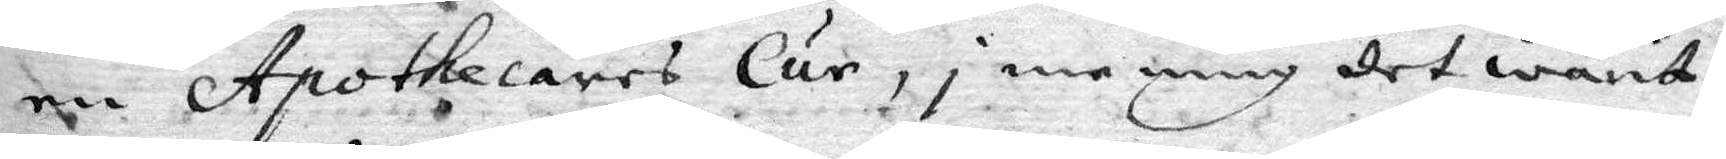en Apothecares Cur, i mening det warit
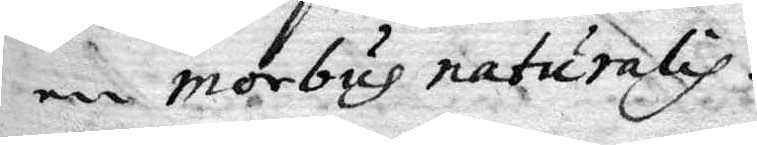en morbus naturalis.
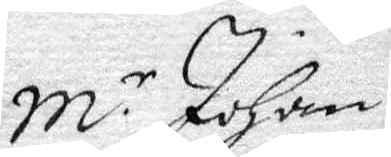Mr Johan
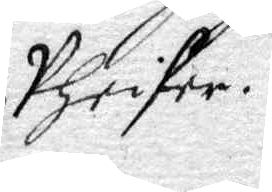Phrifer
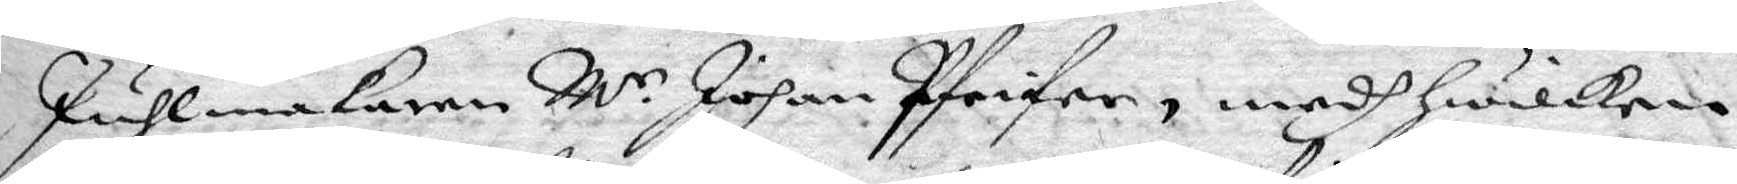Puhlmakaren Mr Johan Pfrifer, medh hwilken
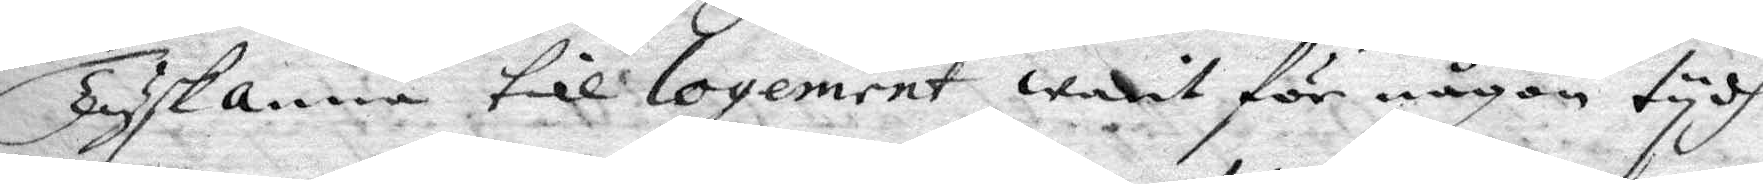Tyskanna till logement warit för någon tydh
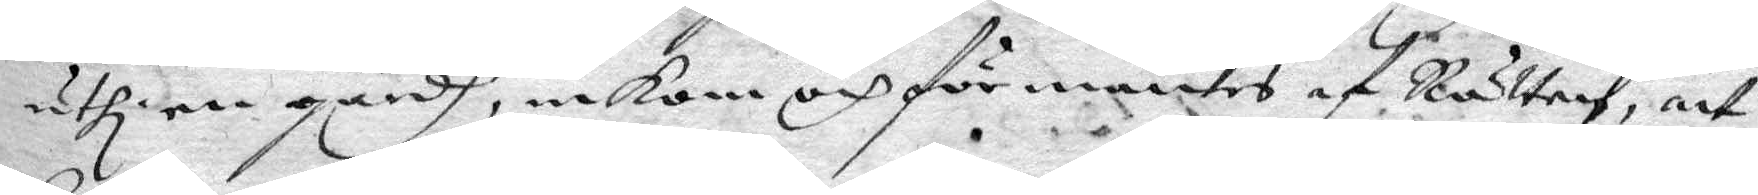uthi en gårdh, inkom och förmantes af Rätten, att
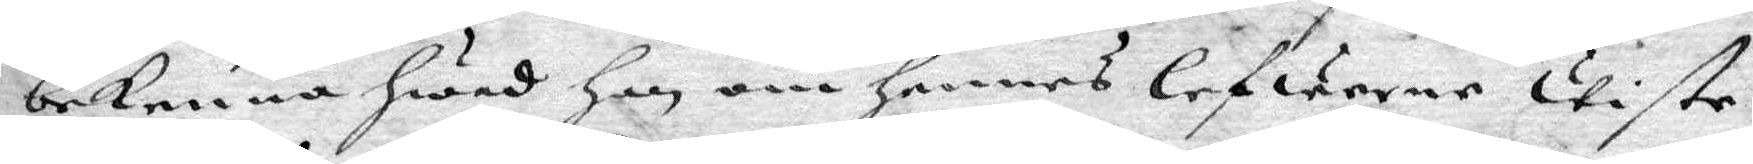bekenna hwad han om hennes lefwerne wiste
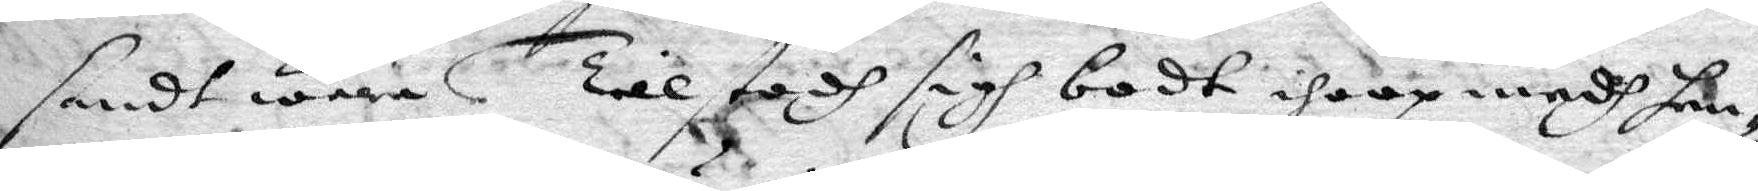sandt wara. Tillstodh sigh bodt ihoop medh hen¬
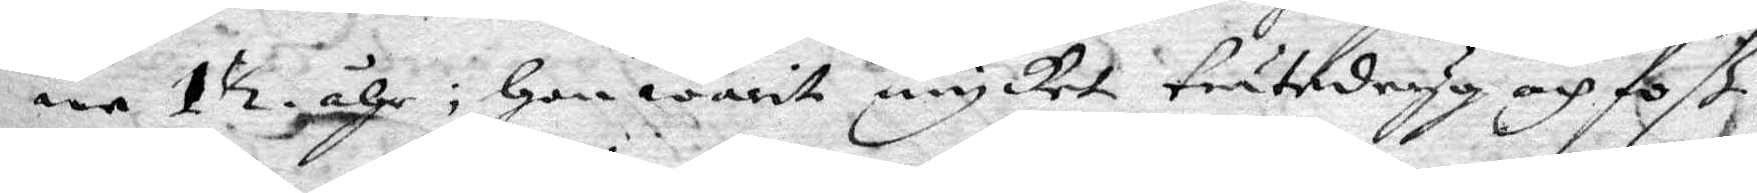ne 1½ åhr; hon warit mycket trätedryg och foß
